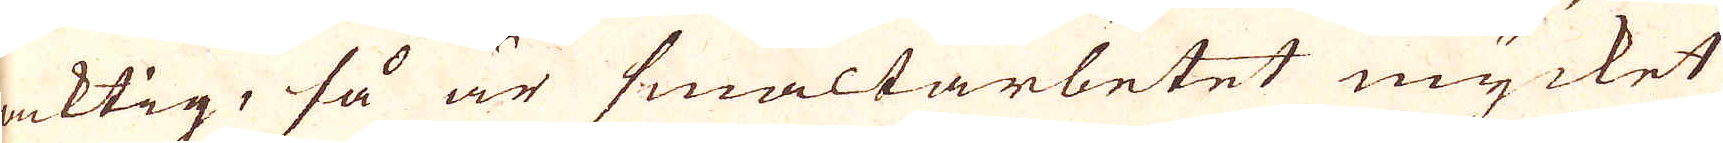acktig, så är smältarbetet mycket
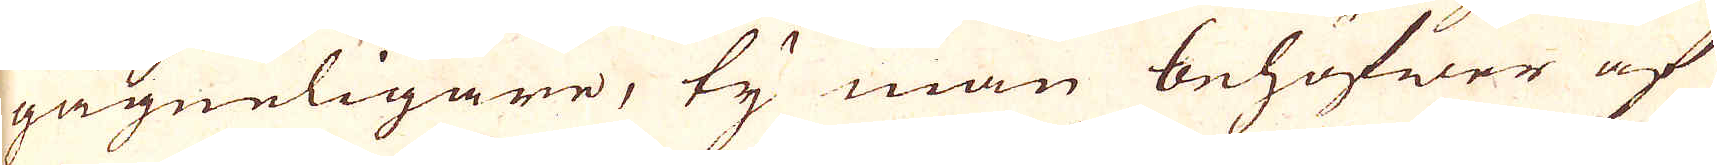gagneligare, ty man behöfwer af
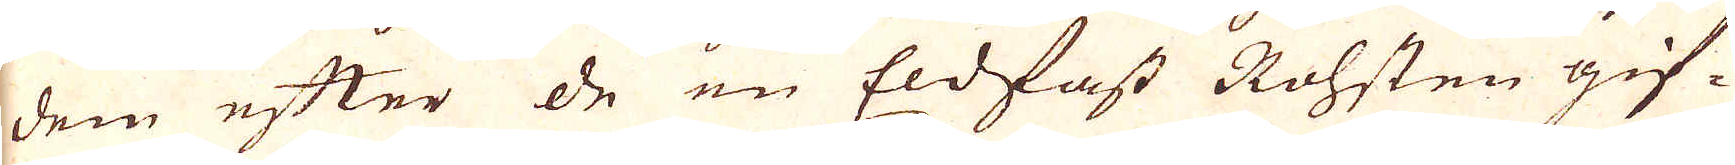dem efter de en Eldfast Rohsten gif-
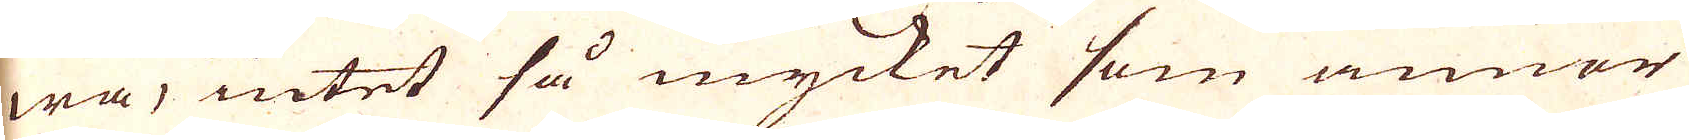wa, intet så mycket som anner
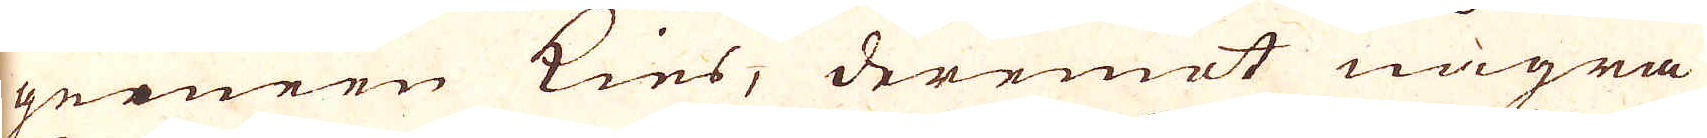greneen kies, deremot några
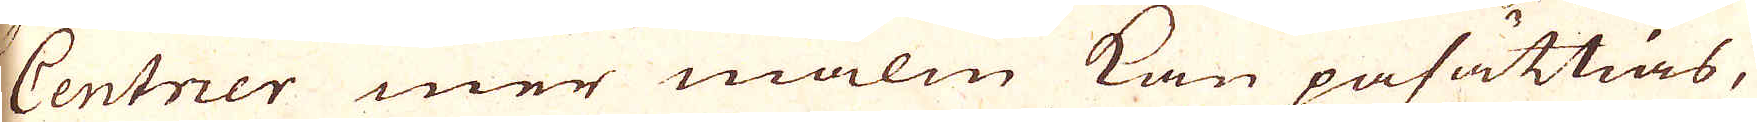Centner mer malm kan påsättias,
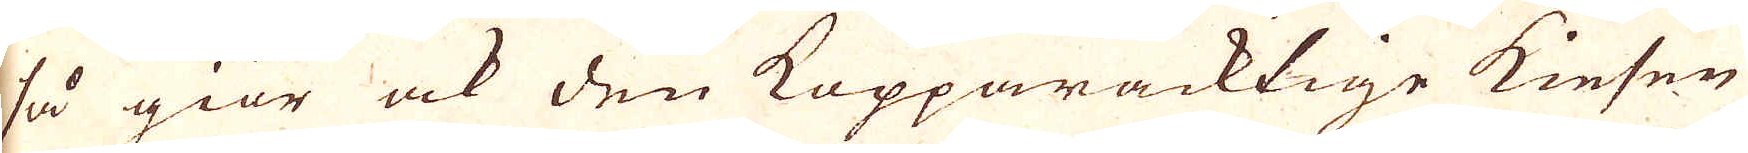så giör ock den Kopparacktige kiesen
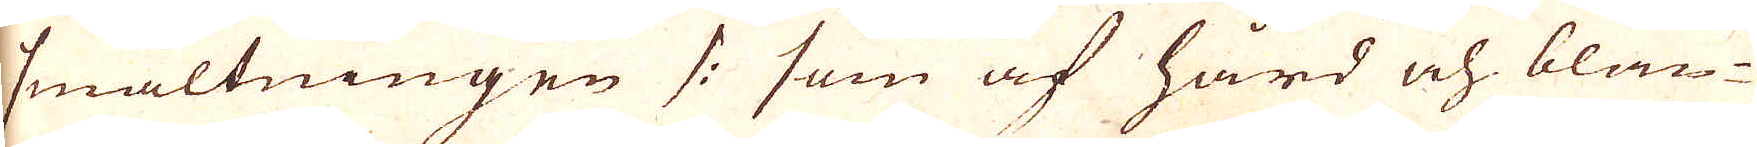smältningen /: som af hård och blän-
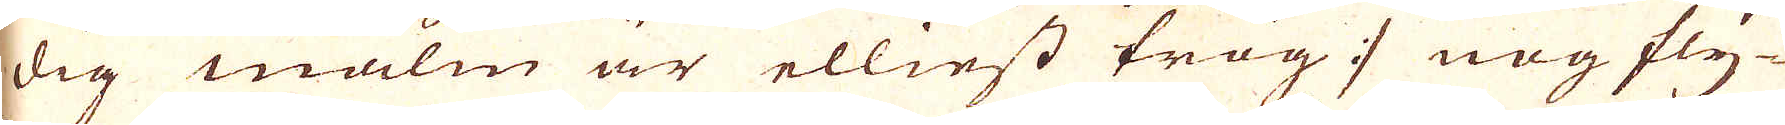dig malm är elliest trög :/ nog fly-
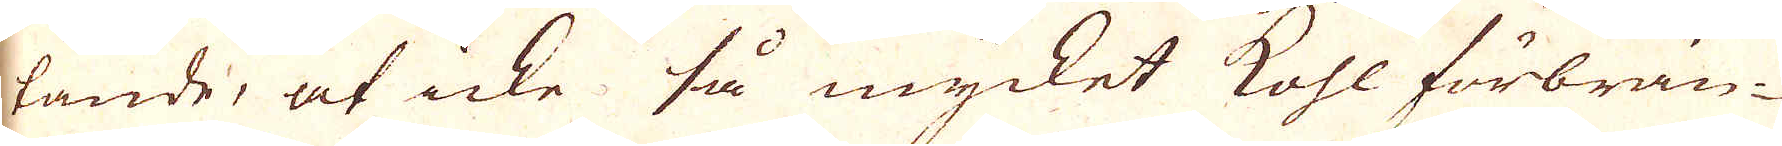tande, at icke så mycket kohl förbrän-
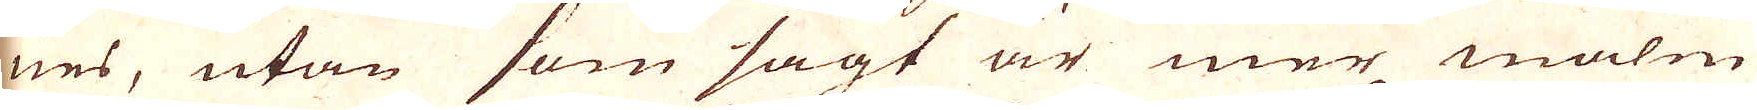nes, utan som sagt är mer malm
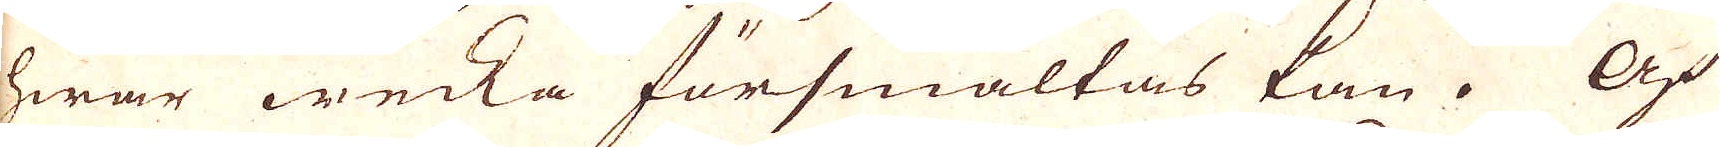hwar wecka försmältas kan. Af
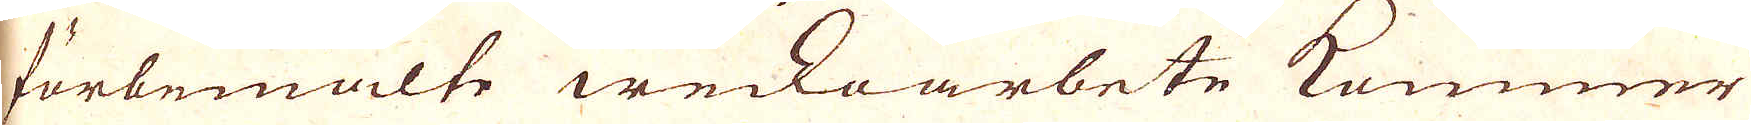förbemälte weckoarbete kommer
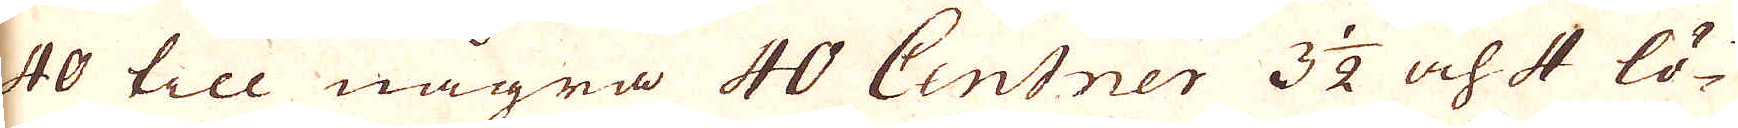40 till några 40 Centner 3 1/2 och 4 lö-
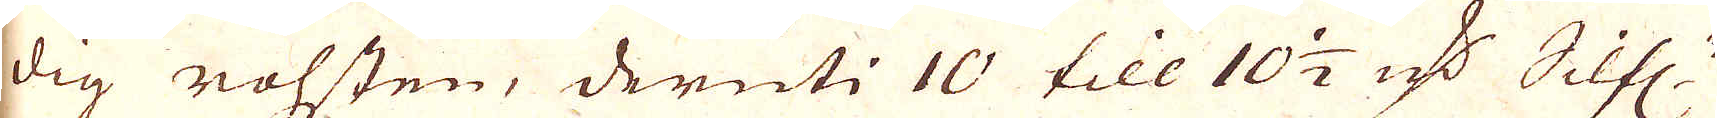dig rohsten, deruti 10 till 10 1/2 qv:r Silf:r
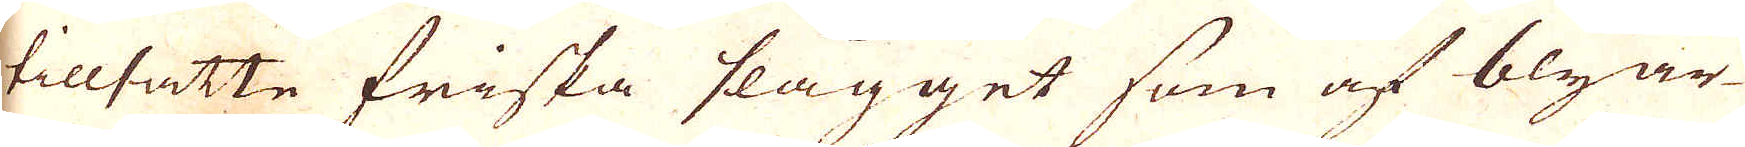tillsatte friska slagget som af blyar-
